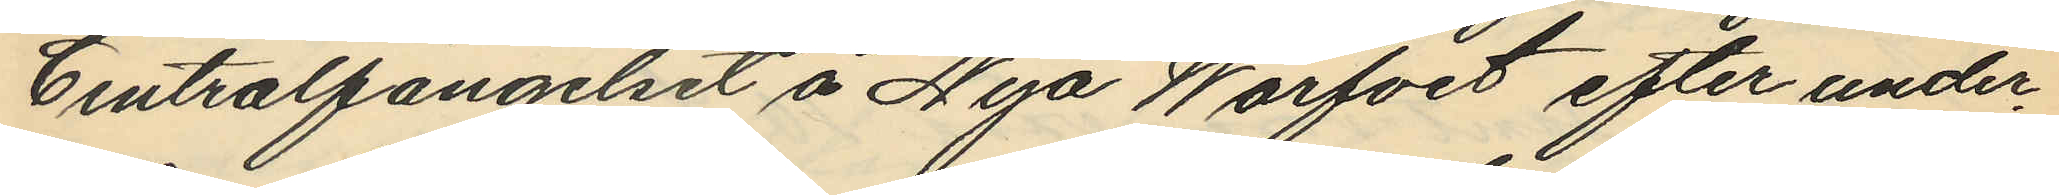Centralfängelset å Nya Warfvet efter under¬
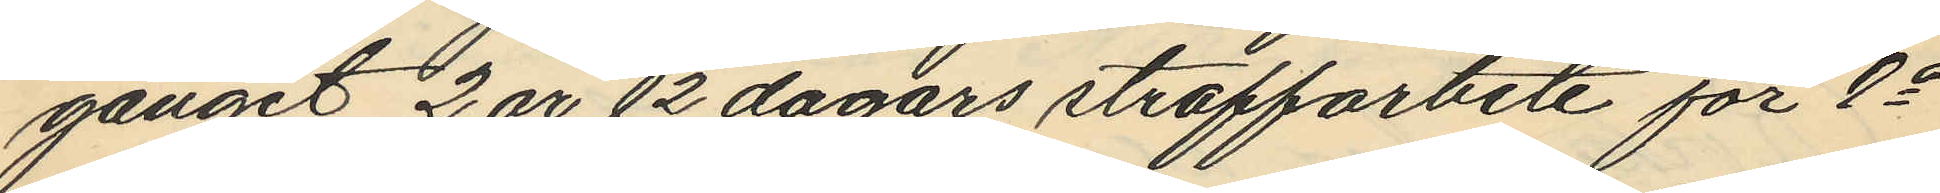gånget 2 år 12 dagars straffarbete för 2a
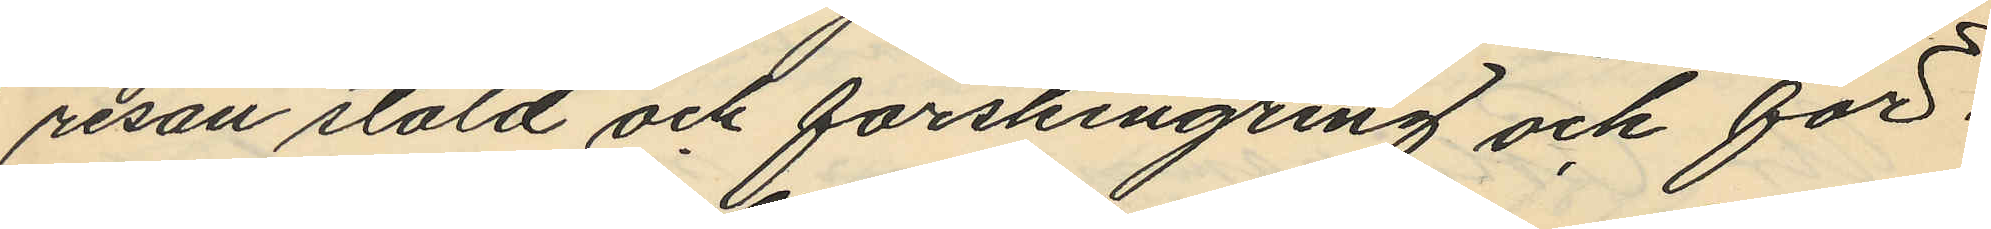resan stöld och förskingring och för¬
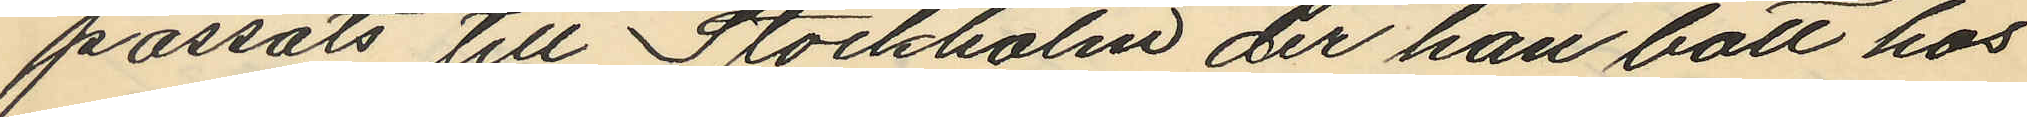passats till Stockholm der han bott hos
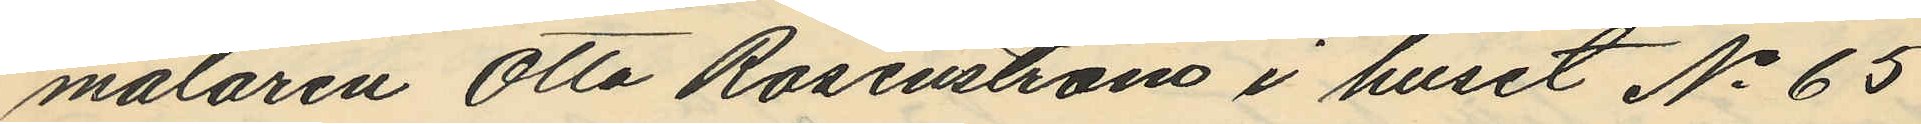målaren Otto Rosenström i huset No 65
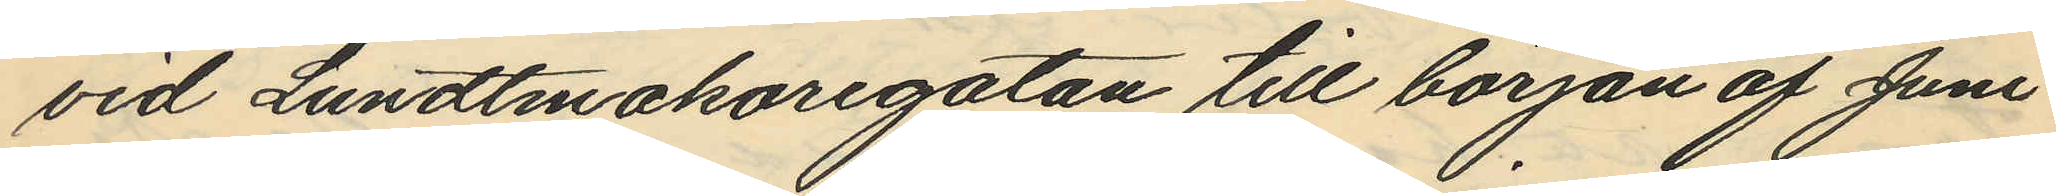vid Lundtmakaregatan till början af Juni
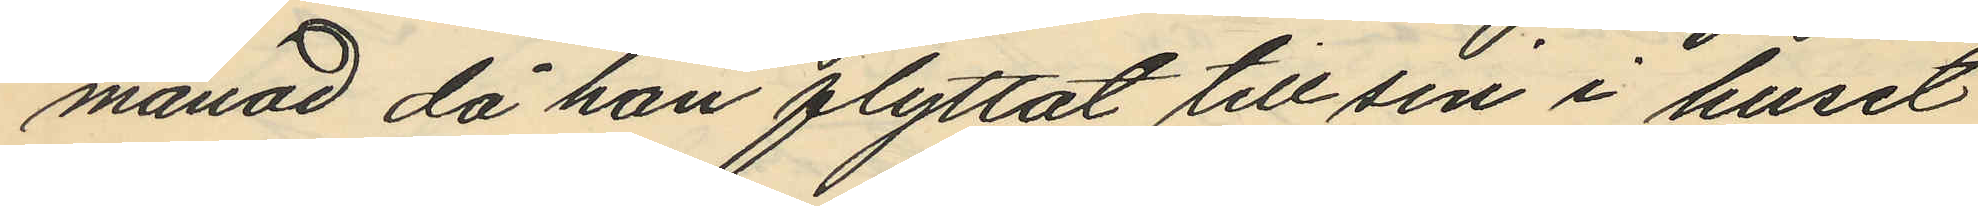månad då han flyttat till sin i huset
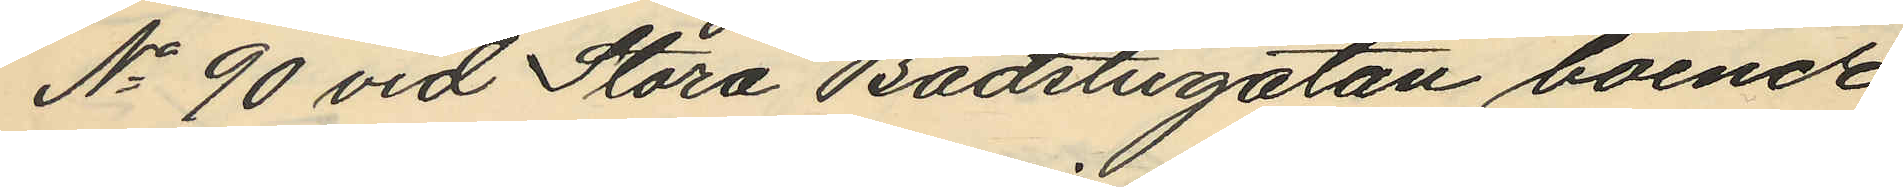No 90 vid Stora Badstugatan boende
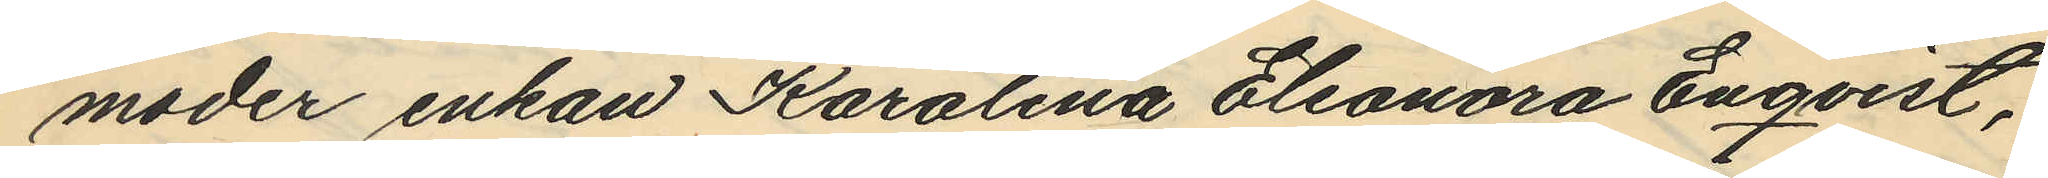moder enkan Karolina Eleonora Enqvist,
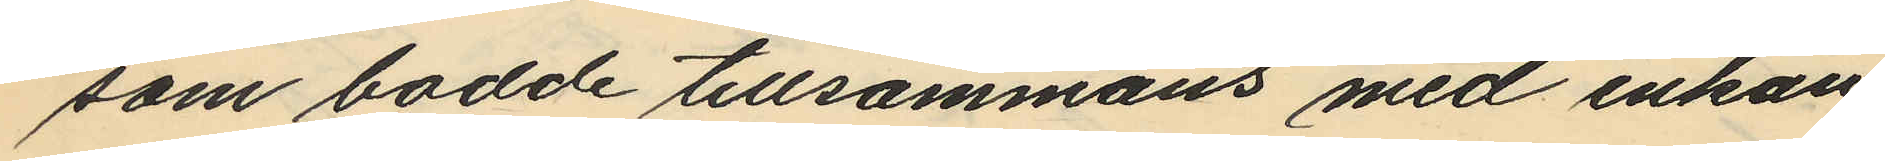som bodde tillsammans med enkan
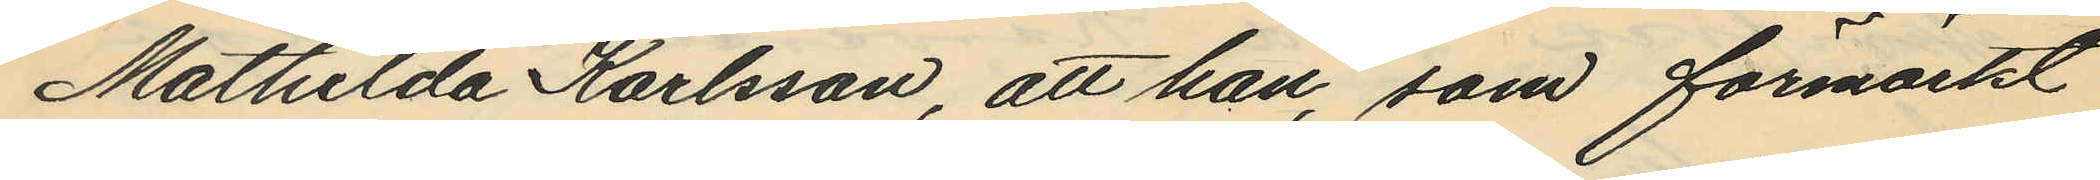Mathilda Karlsson, att han, som förmärkt
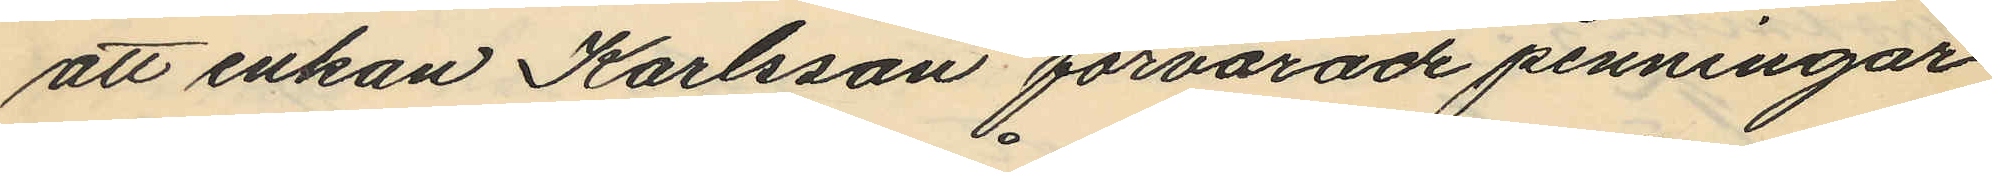att enkan Karlsson förvarade penningar
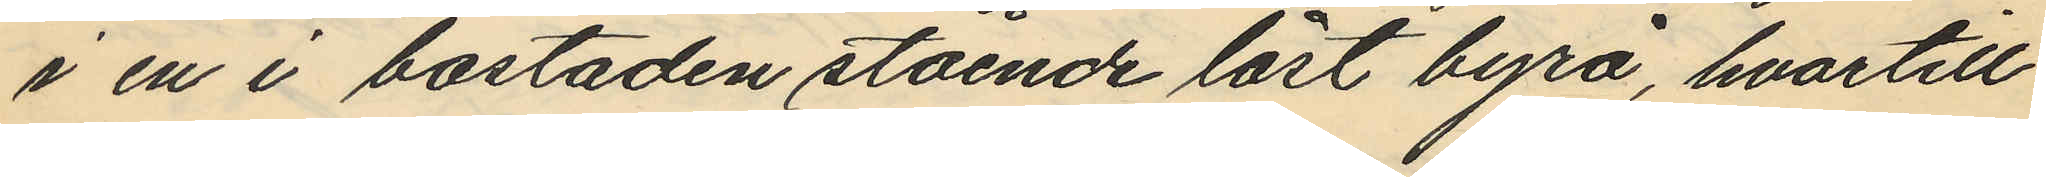i en i bostaden stående låst byrå, hvartill
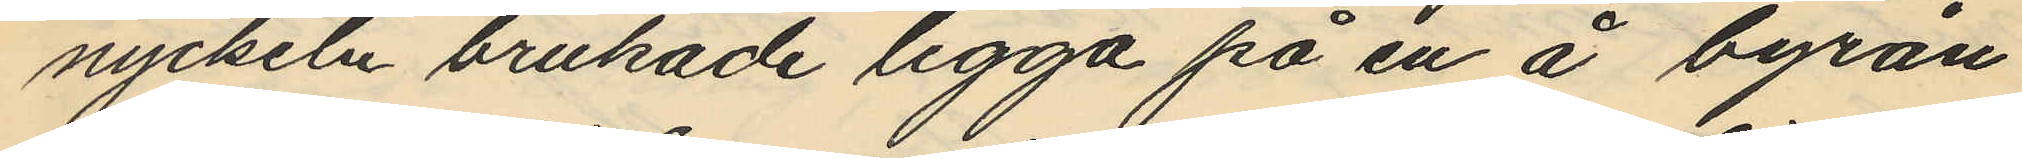nyckeln brukade ligga på en å byrån
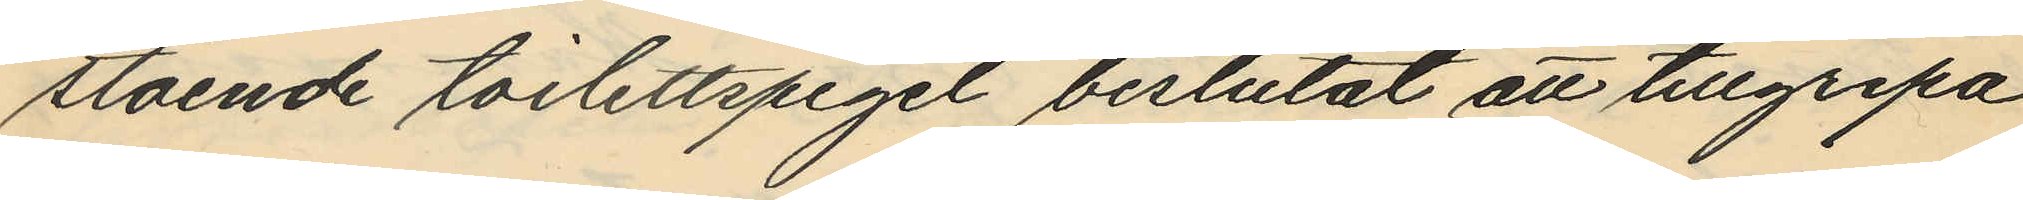stående toilettspegel beslutat att tillgripa
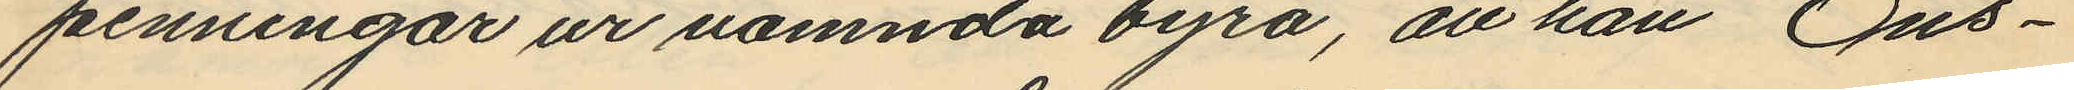penningar ur nämnda byrå, att han Ons¬
